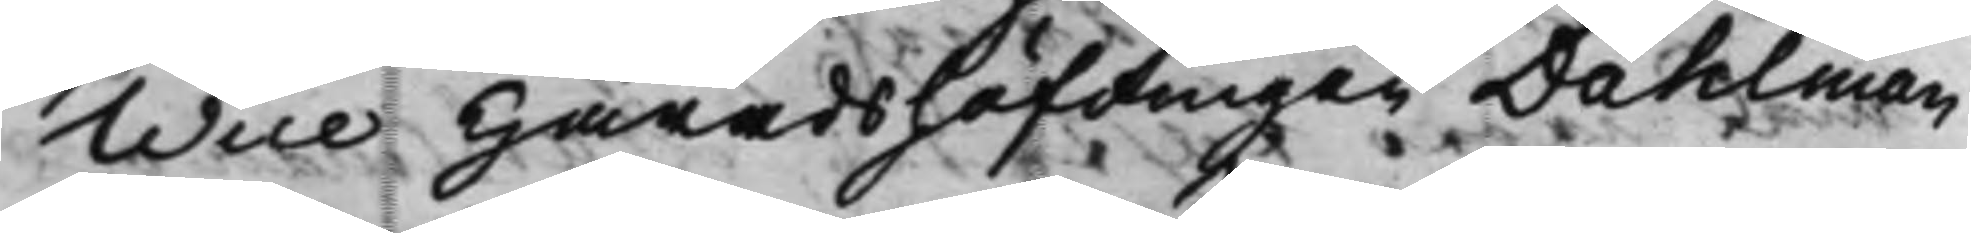Wice Häradshöfdingen Dahlman
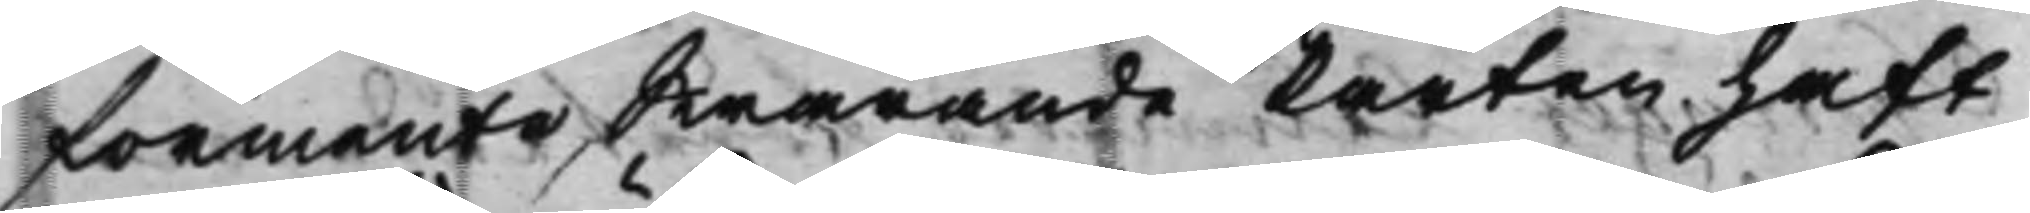förmente Swarande Parten haft
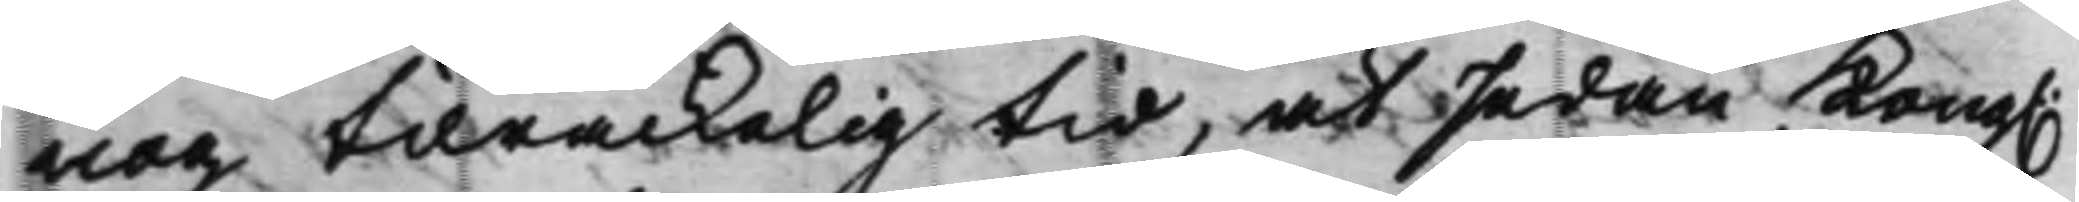nog tilräckelig tid, at sedan Kong.
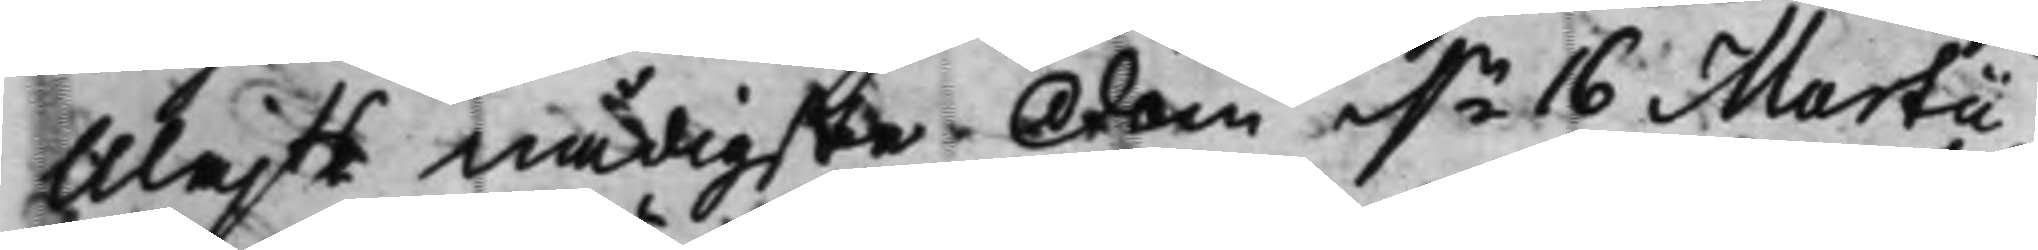Majts nådigste Dom d.n 16 Martii
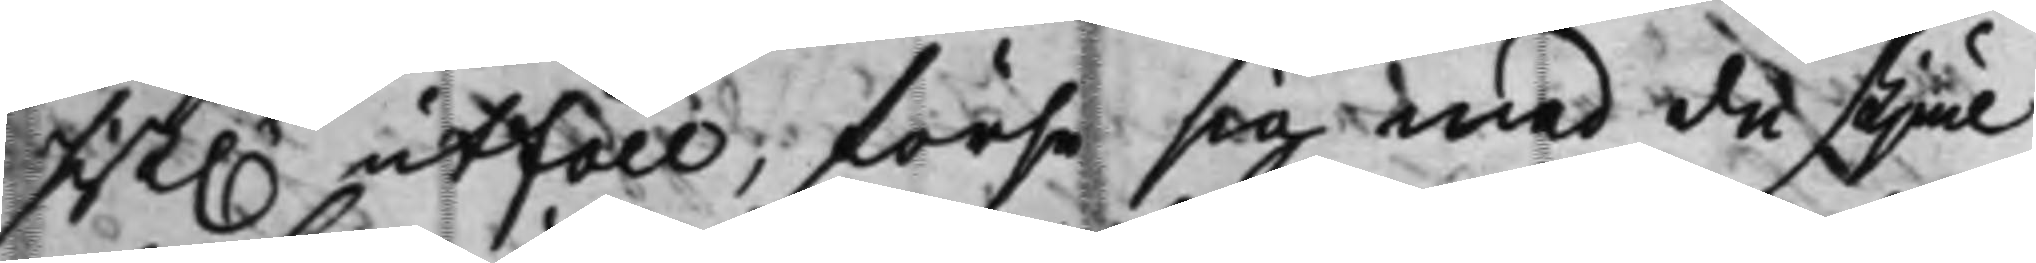sist.e utföll, förse sig med de skjäl
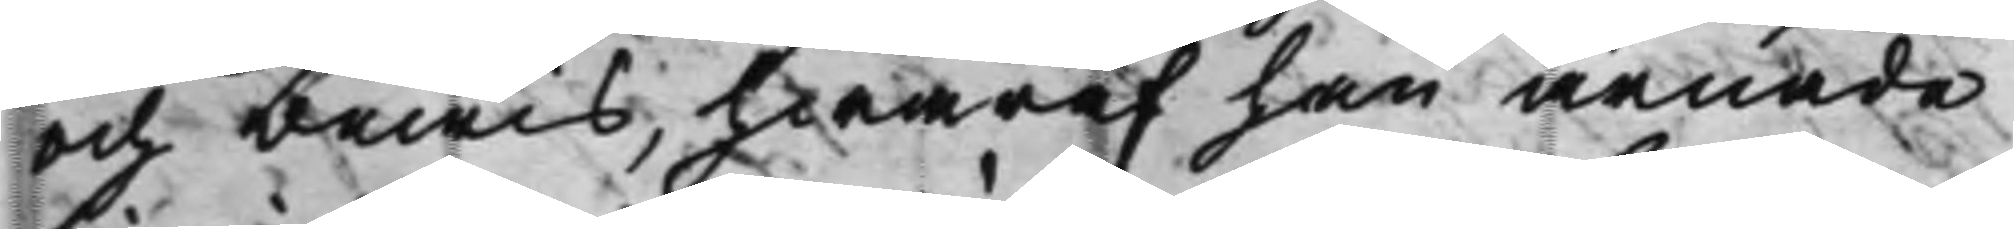och bewis, hwaraf han ärnade
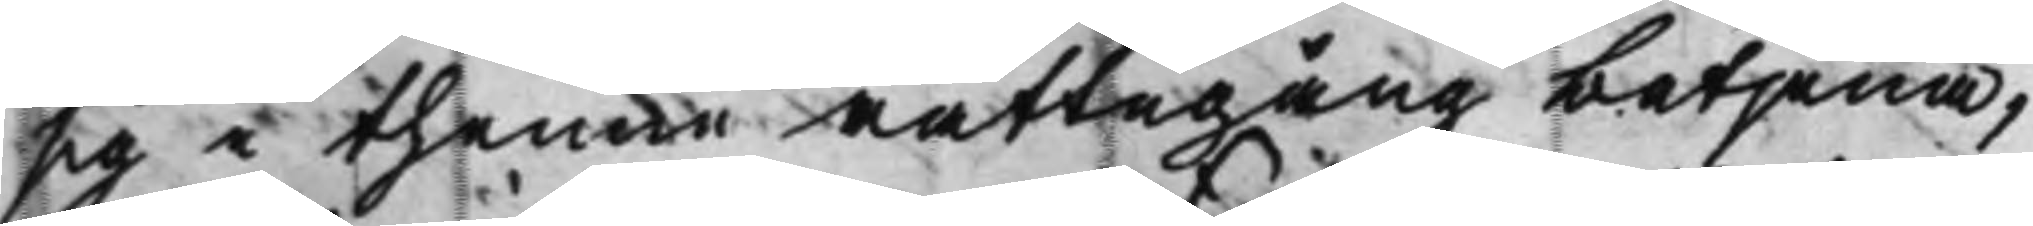sig i thenne rättegång betjena,
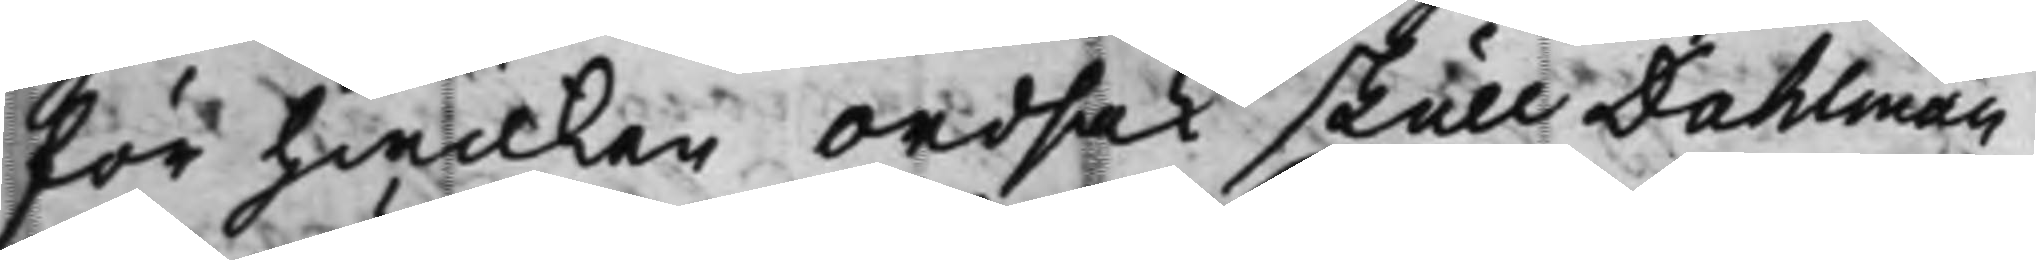för hwilken Ordsak skull Dahlman
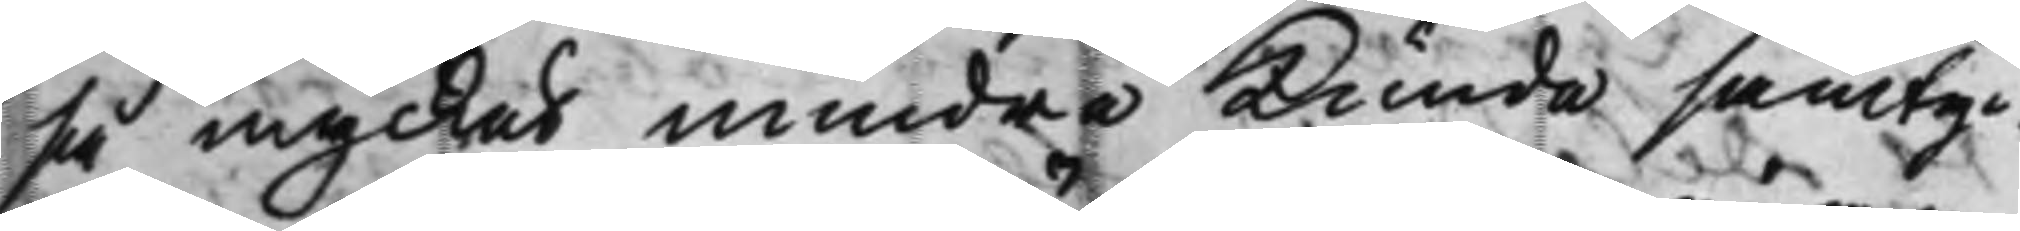så mycket mindre kunde samtyc¬
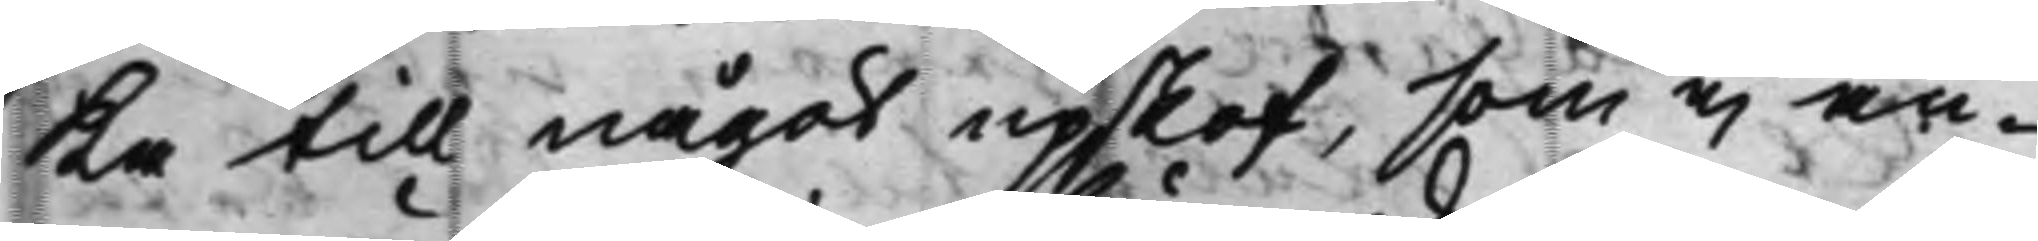Ka till något upskof, som ej an¬
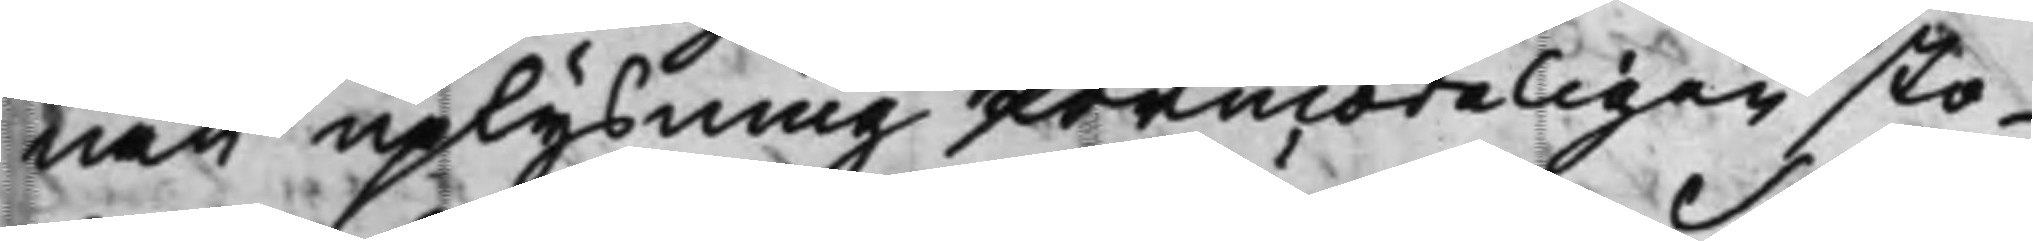nan uplysning förmodeligen sto¬
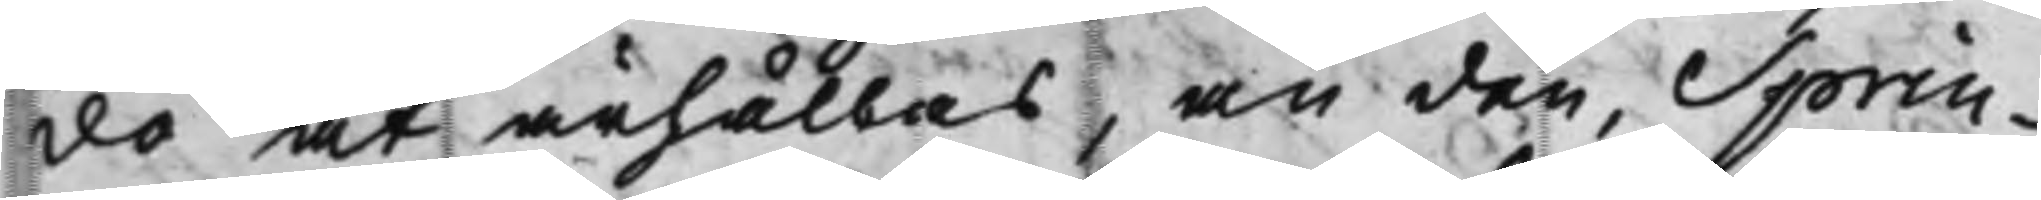do at ärhållas, än den, Sprin¬
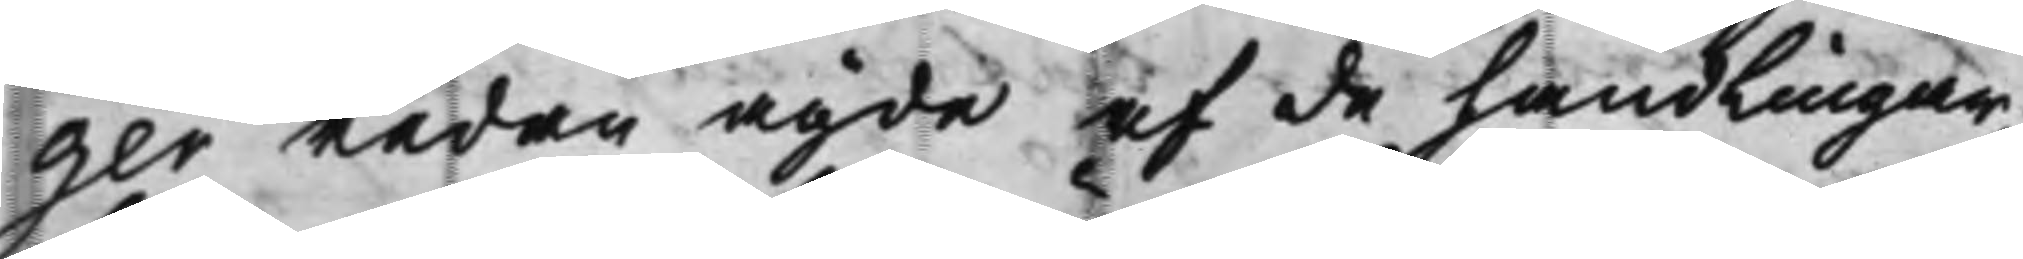ger redan ägde af de handlingar,
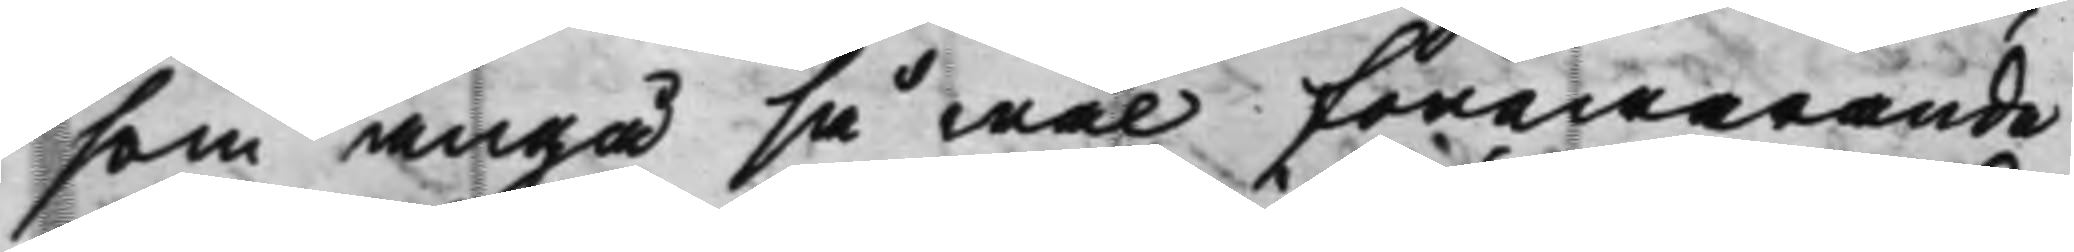som angå så wäl förewarande
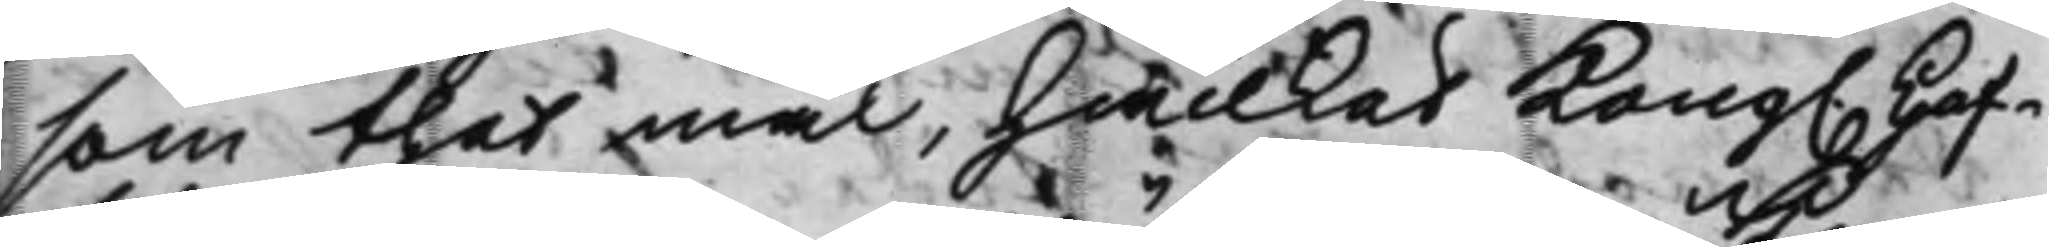som thet mål, hwilket Kong. Hof¬
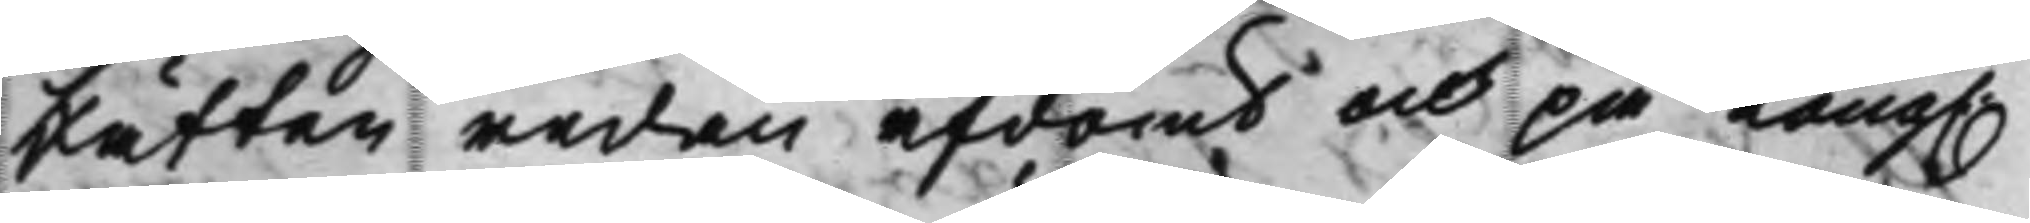Rätten redan afdömt och på Kong.
